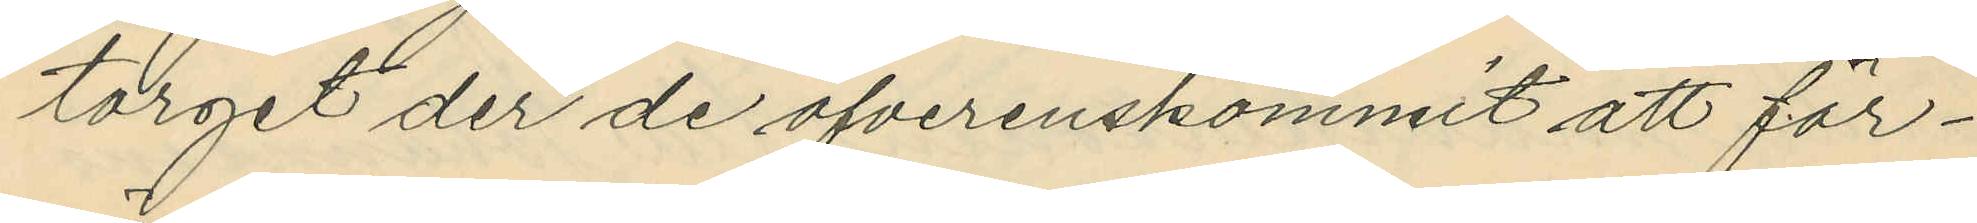torget der de öfverenskommit att för¬
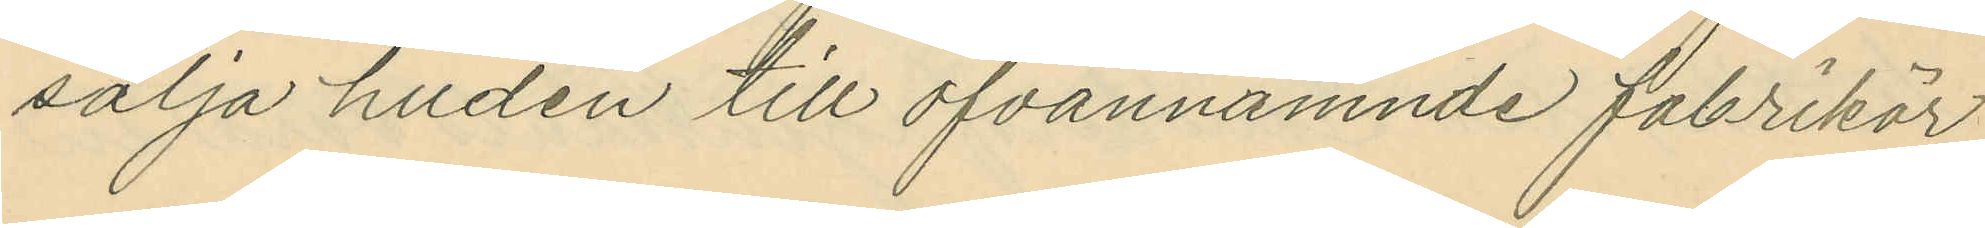sälja huden till ofvannämnde fabrikör
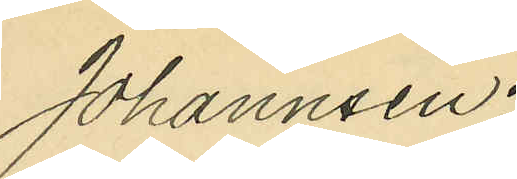Johannsen;
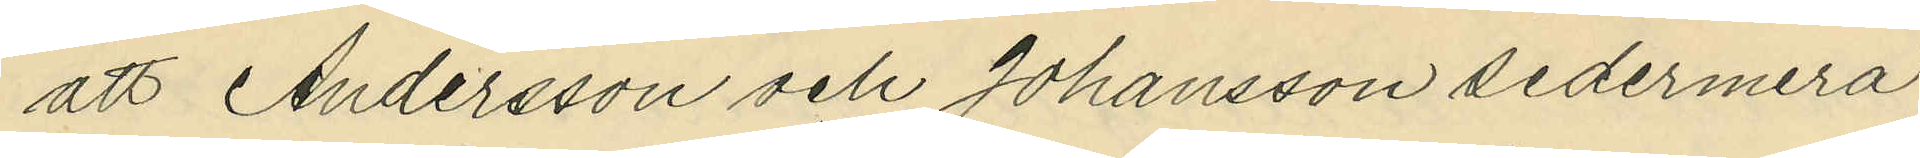att Andersson och Johansson sedermera
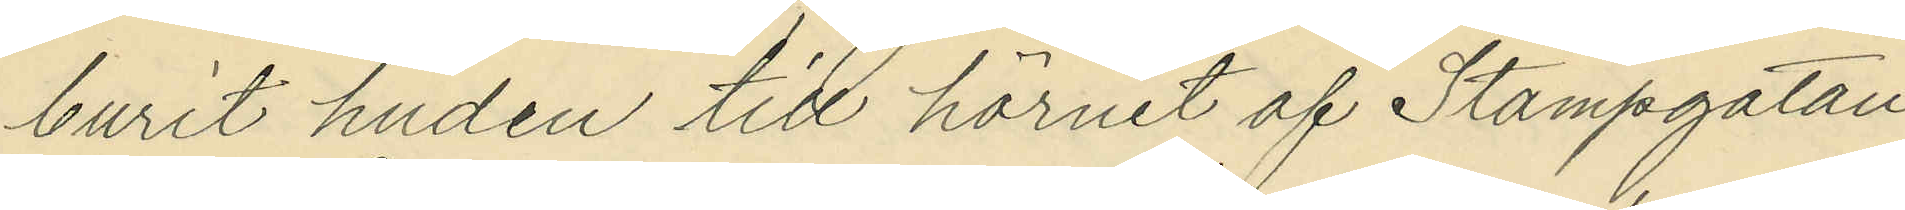burit huden till hörnet af Stampgatan
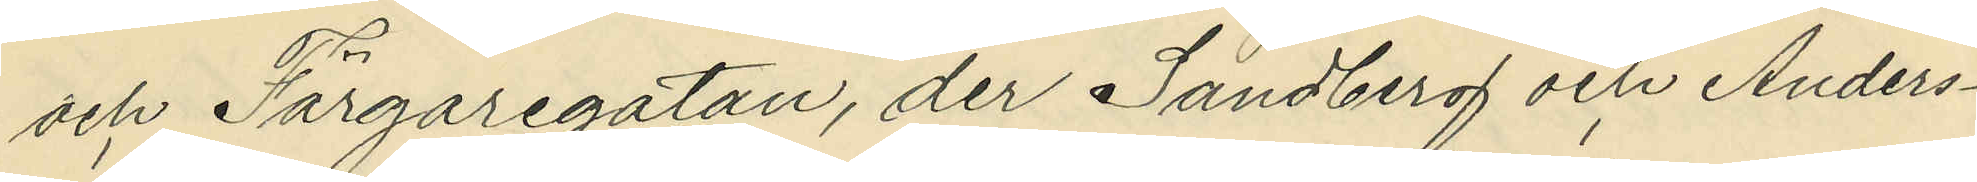och Färgaregatan, der Sandberg och Anders¬
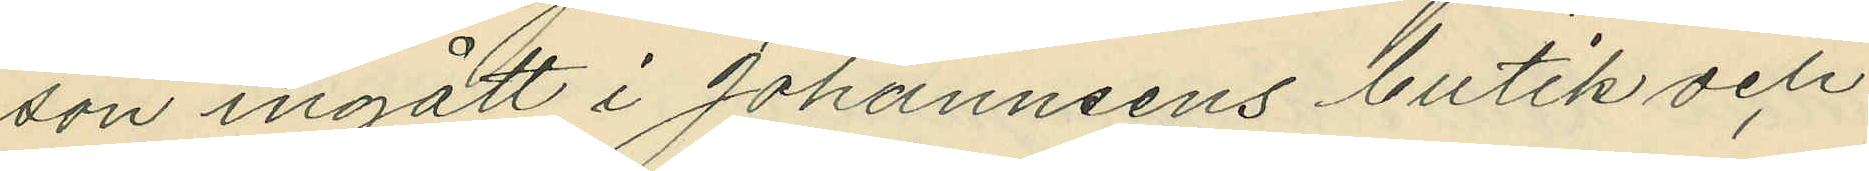son ingått i Johannsens butik och
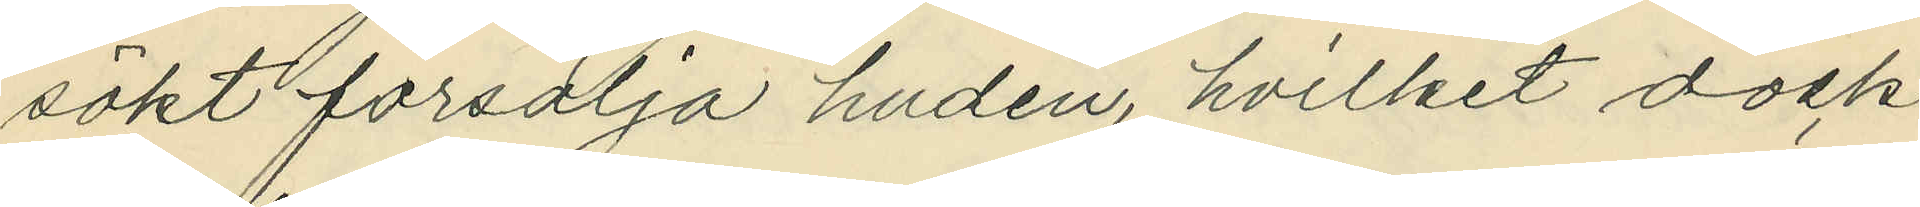sökt försälja huden, hvilket dock
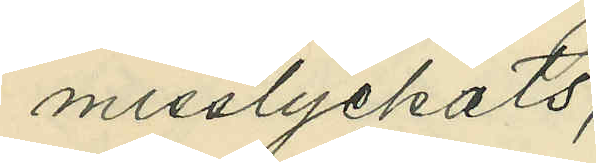misslyckats;
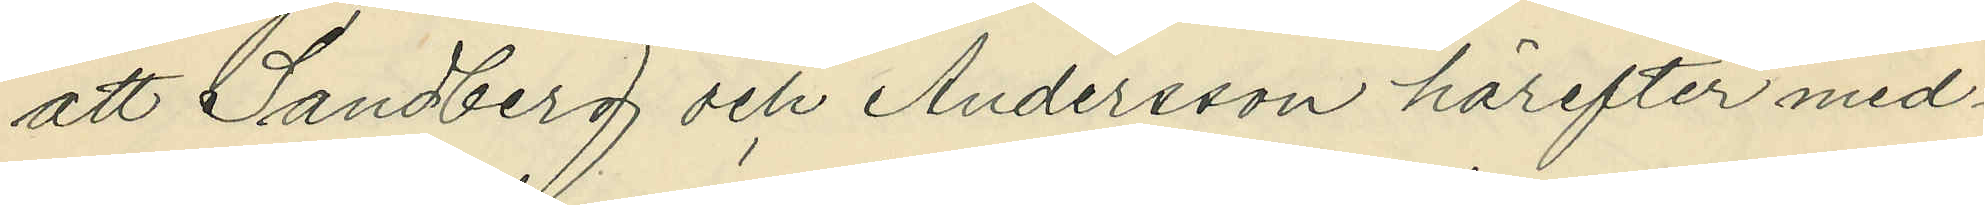att Sandberg och Andersson härefter med¬
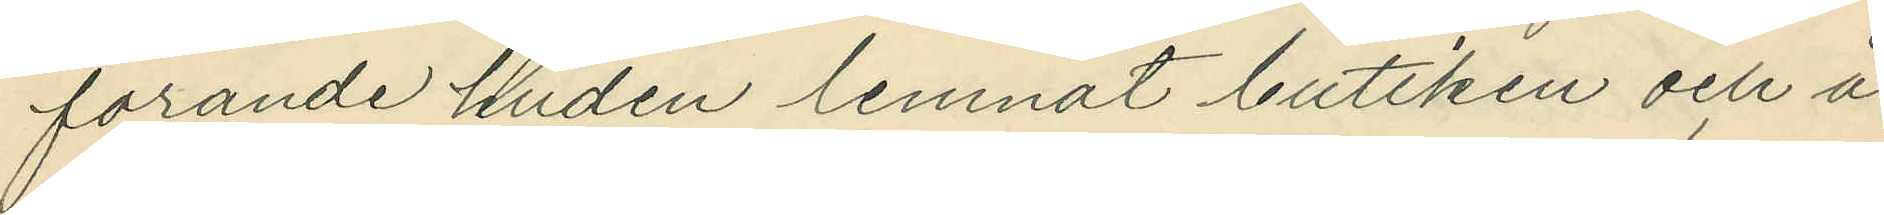förande huden lemnat butiken och å
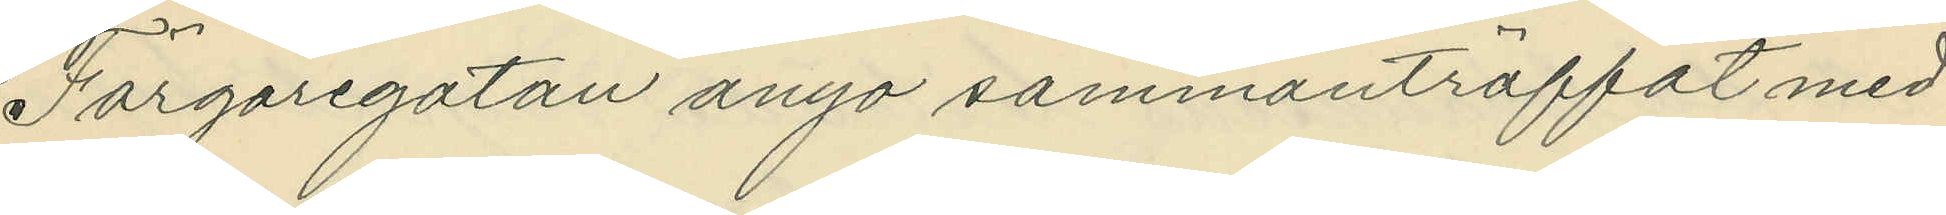Färgaregatan ånyo sammanträffat med
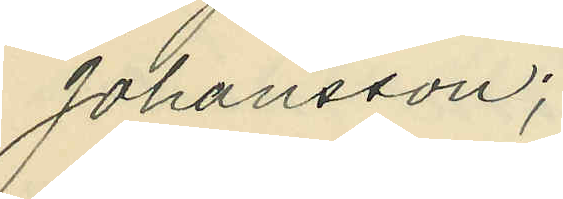Johansson;
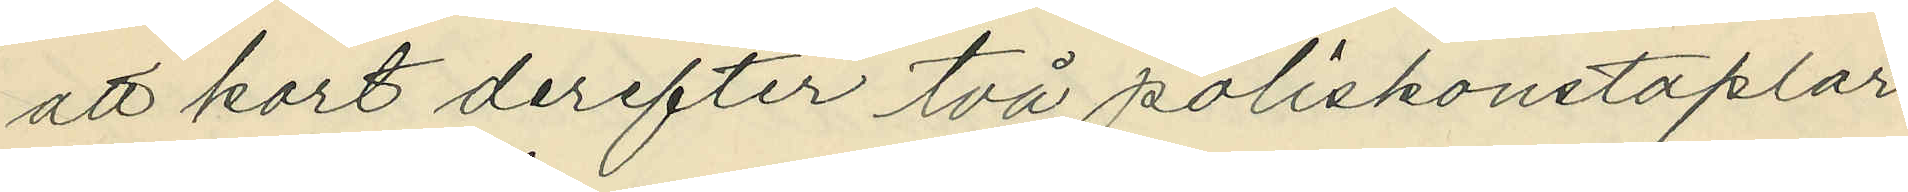att kort derefter två poliskonstaplar
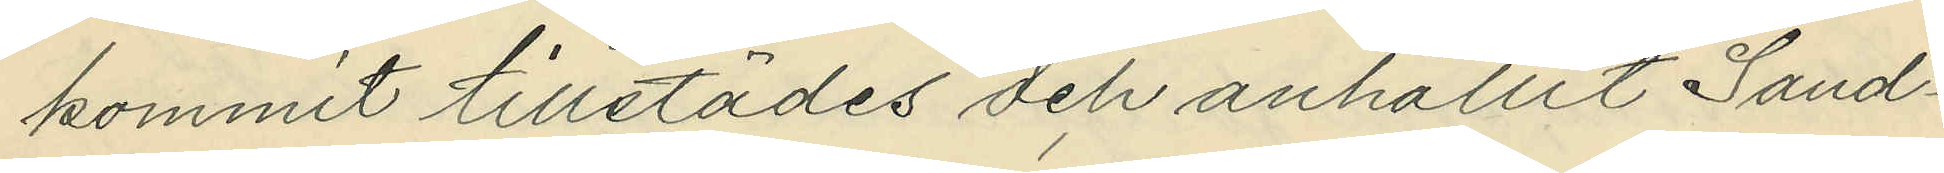kommit tillstädes och anhållit Sand¬
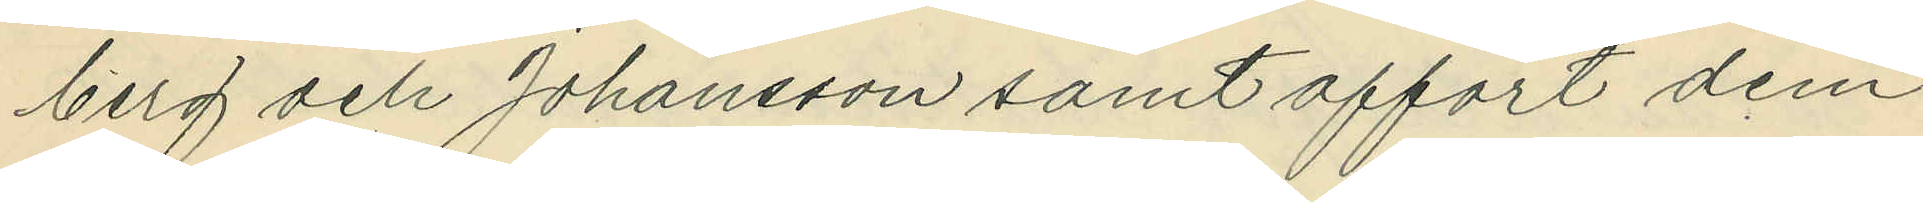berg och Johansson samt affört dem
